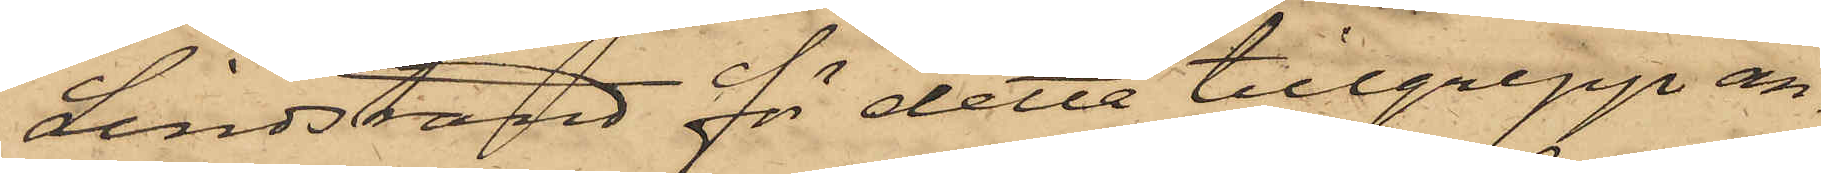Lindstrand för detta tillgrepp an¬
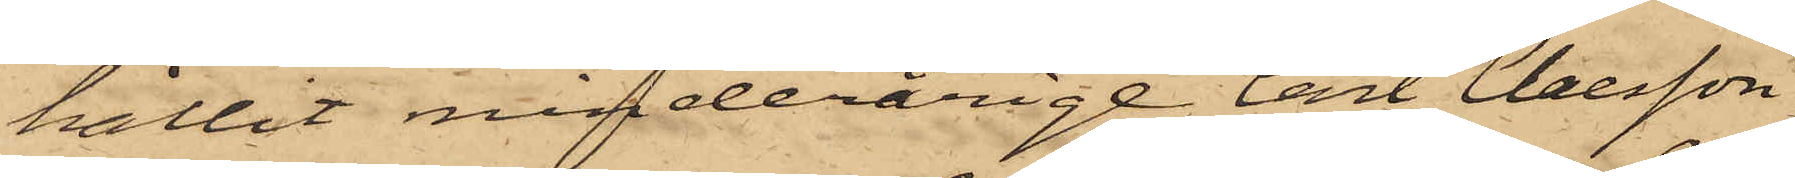hållit minderårige Carl Claesson,
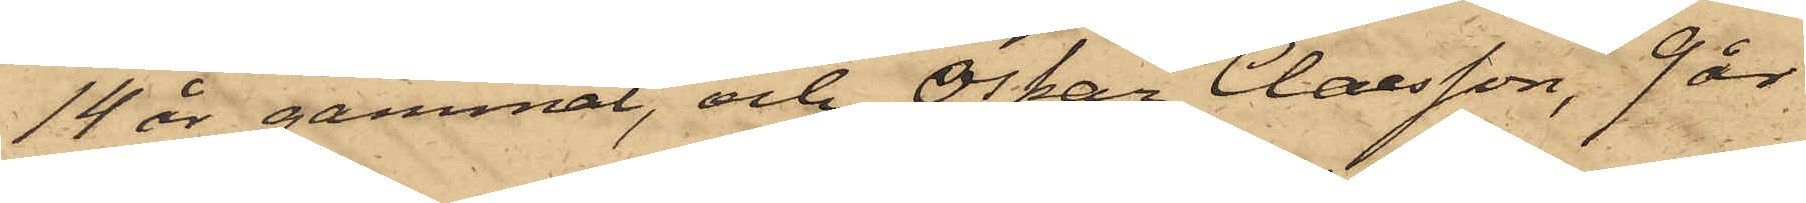14 år gammal, och Oskar Claesson, 9 år
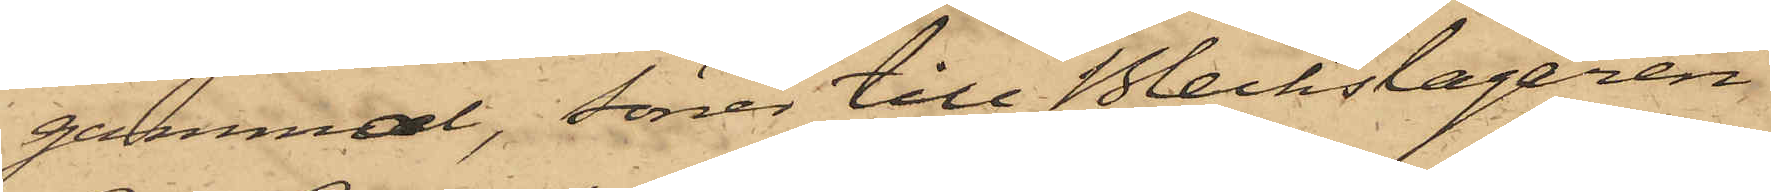gammal, söner till Bleckslagaren
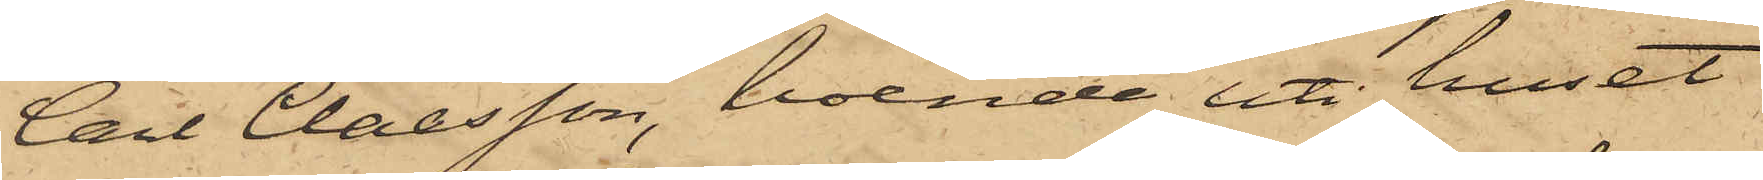Carl Claesson, boende uti huset
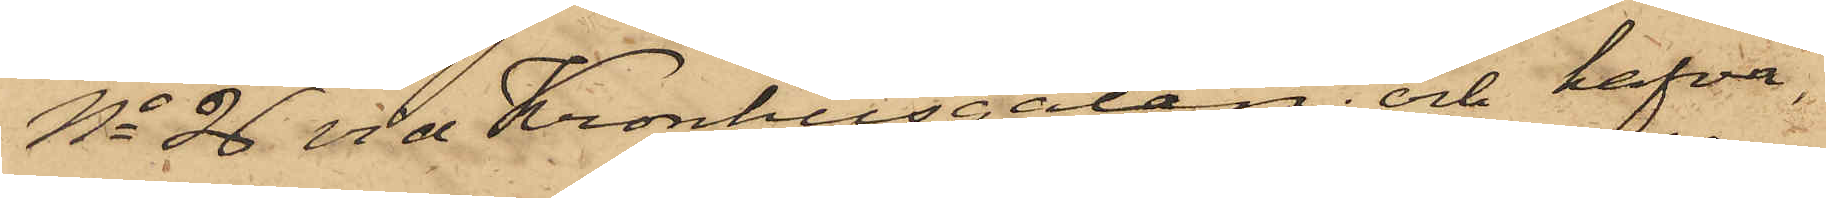No 26 vid Kronhusgatan; och hafva
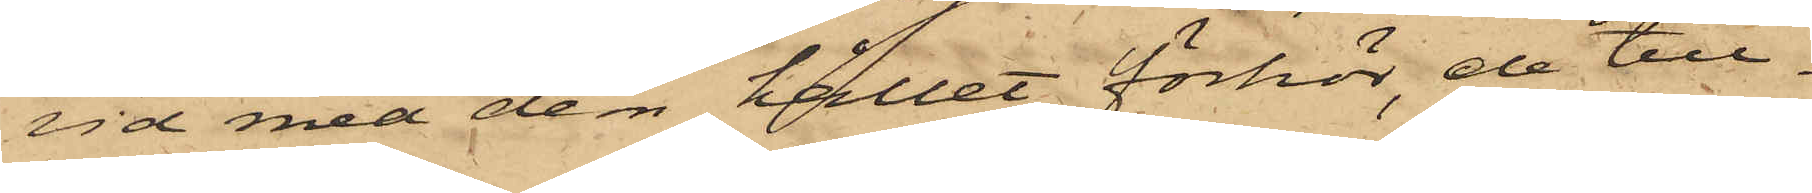vid med dem hållet förhör de till¬
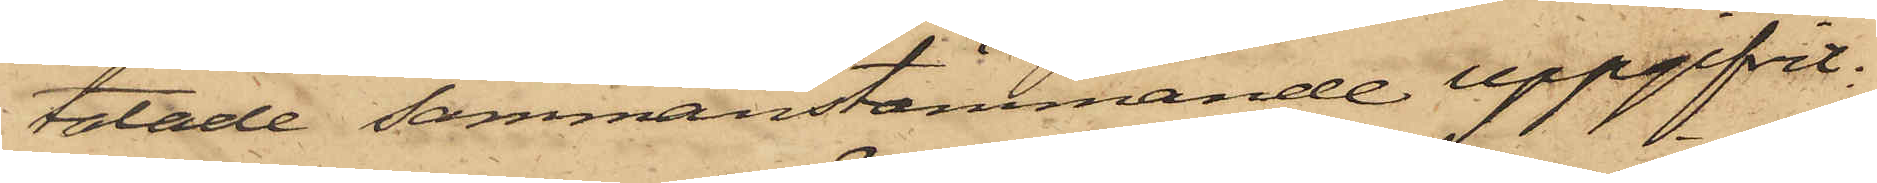talade sammanstämmande uppgifvit:
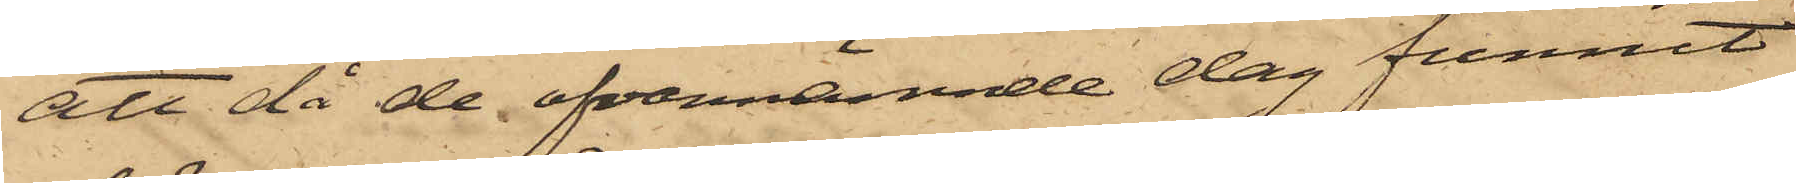att då de ofvannämnde dag funnit
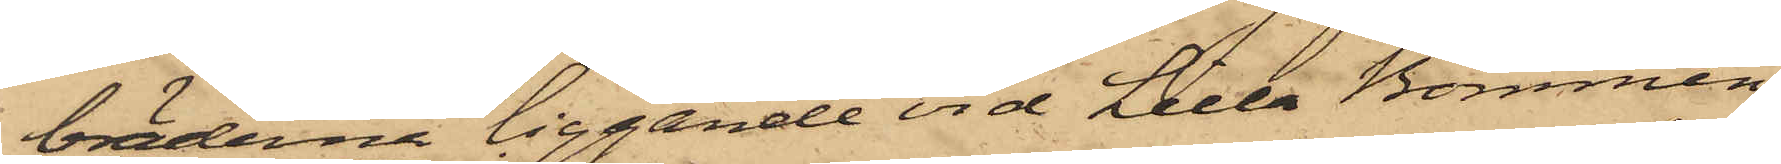bräderna liggande vid Lilla Bommen,
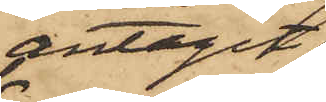antagit
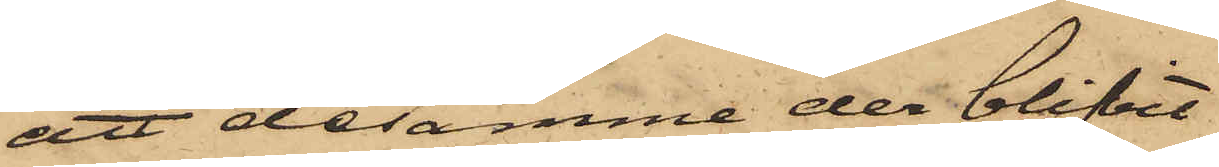att desamme der blifvit
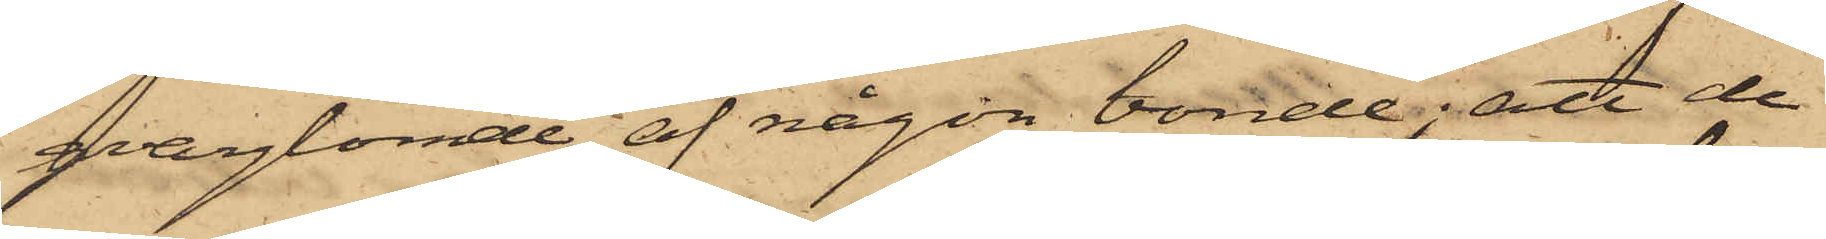qvarglömde af någon bonde; att de
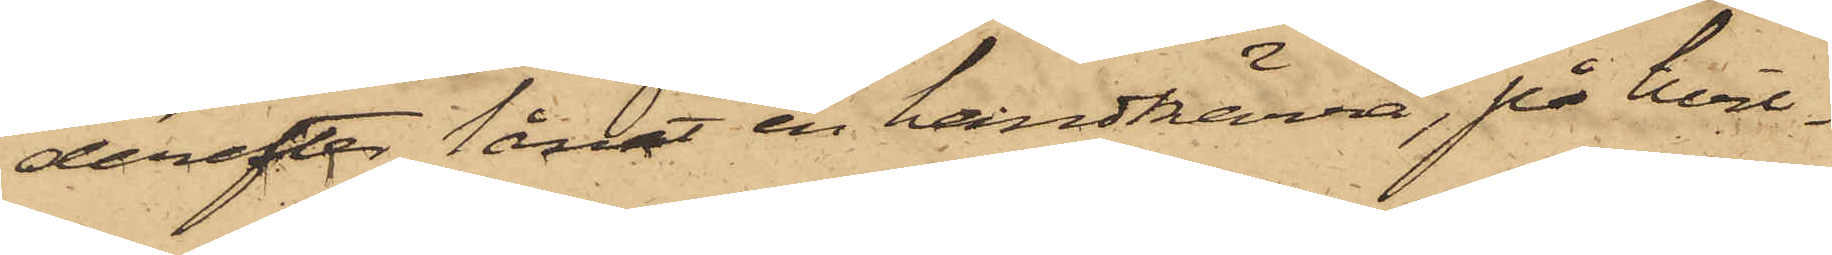derefter lånat en handkärra, på hvil¬
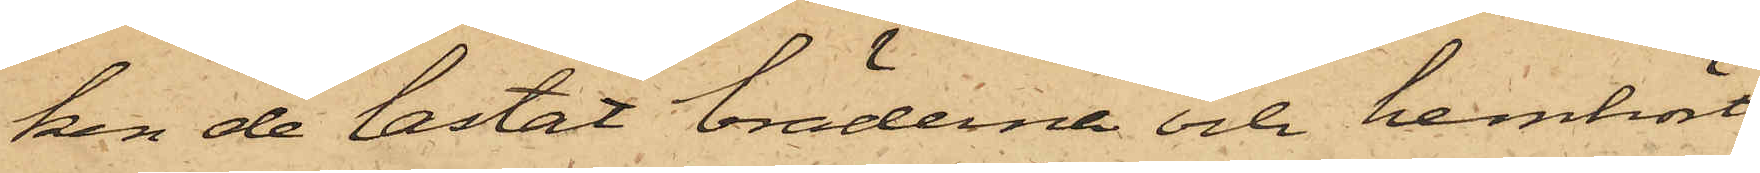ken de lastat bräderna och hemkört
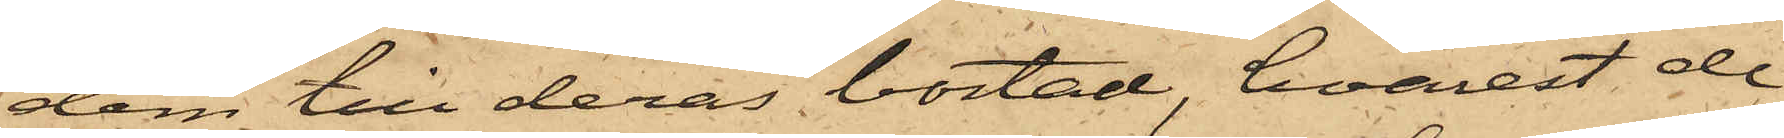dem till deras bostad, hvarest de
